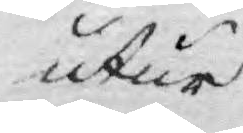utur
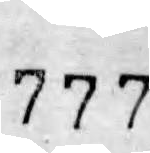777
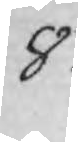8.
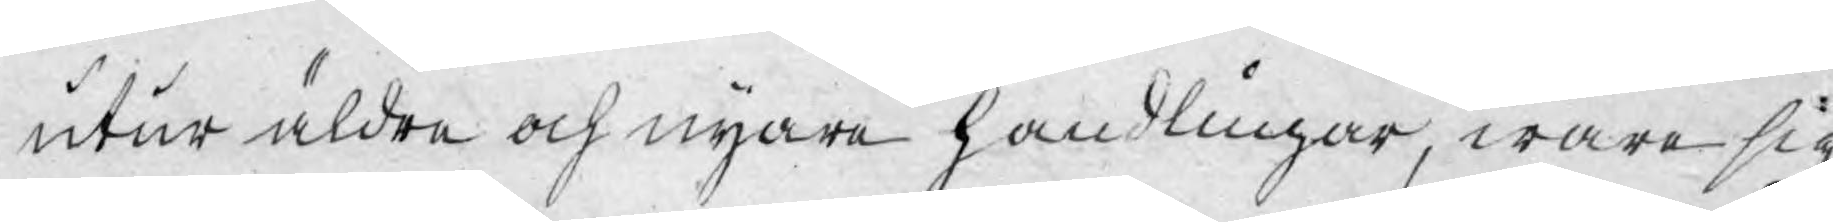utur äldre och nyare handlingar, wara sig
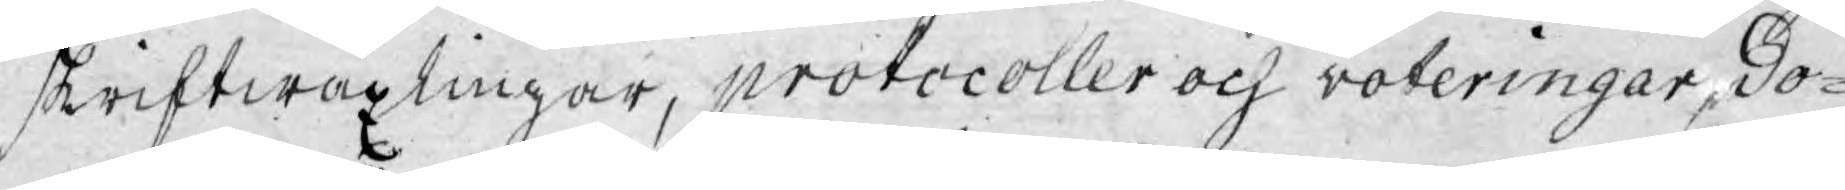skriftwäxlingar, protocoller och voteringar, do¬
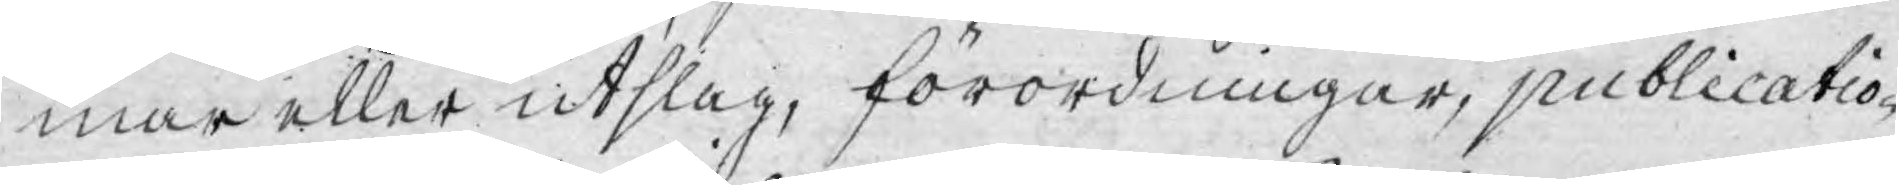mar eller utslag, förordningar, publicatio¬
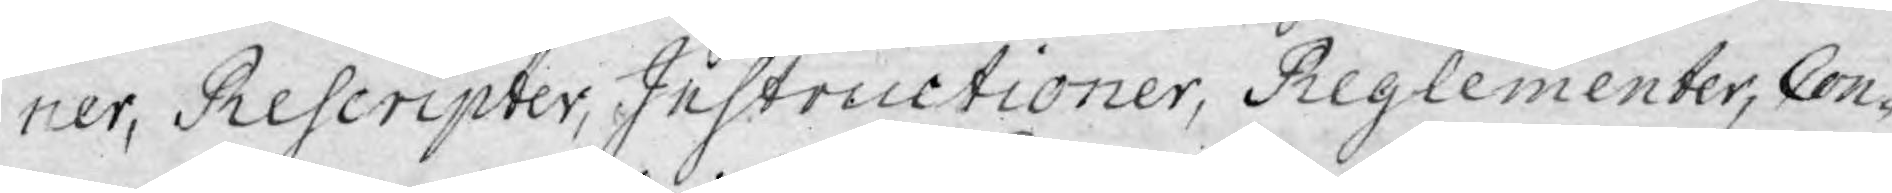ner, Rescripter, Instructioner, Reglementer, Con¬
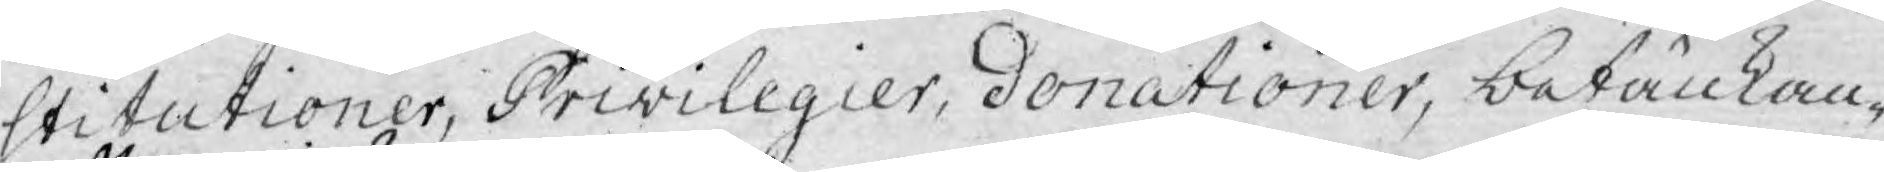stitutioner, Privilegier, donationer, betänkan¬
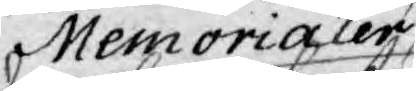Memorialer
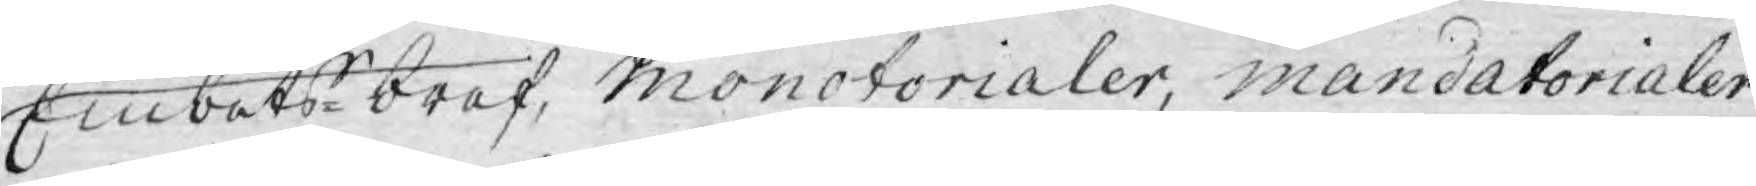Embetsbref, Monotorialer, mandatorialer
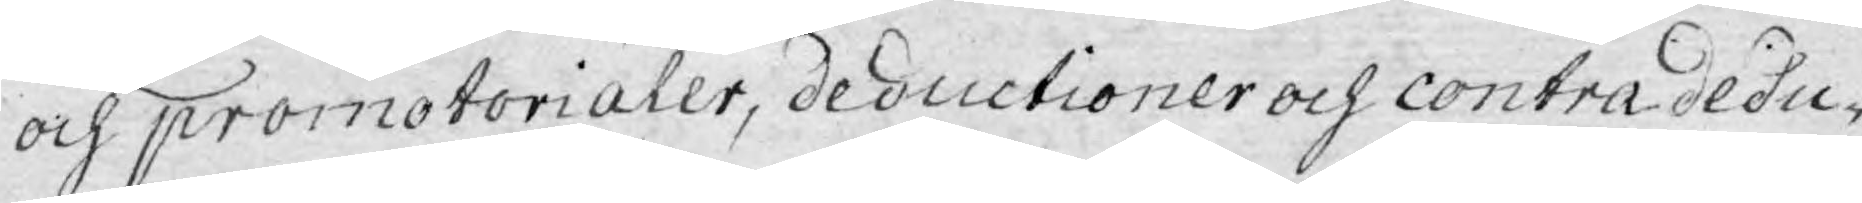och promotorialer, deductioner och contradedu¬
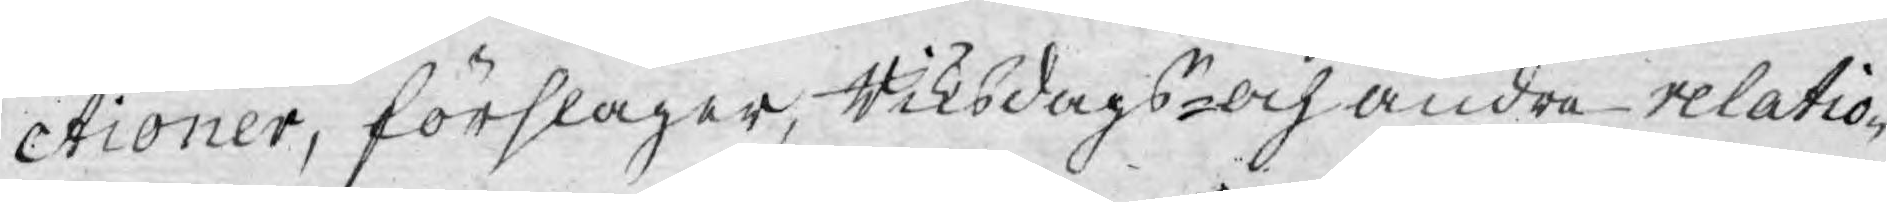ctioner, förslager, Riksdags- och andra relatio¬
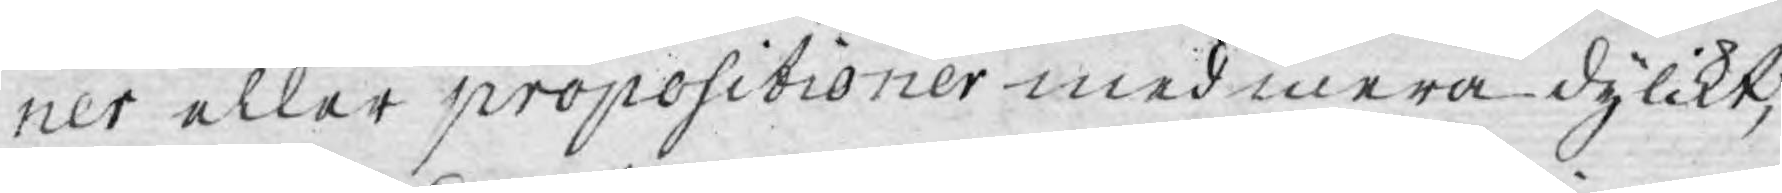ner eller propositioner med mera dylikt,
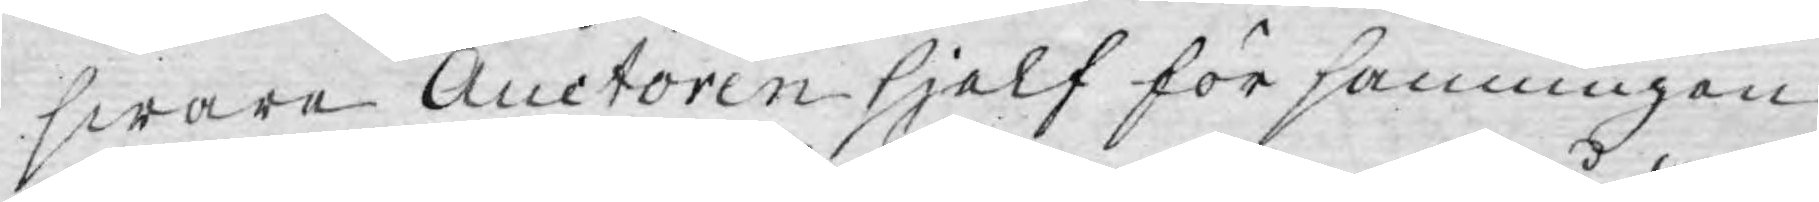sware Auctoren sjelf för sanningen
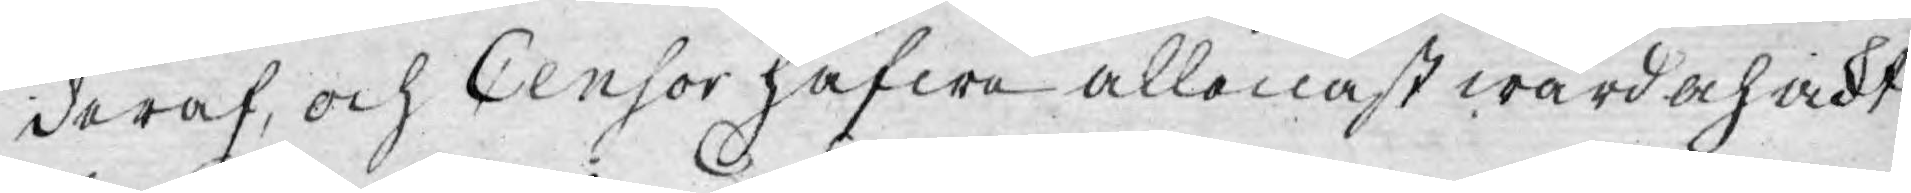deraf, och Censor hafwa allenast wård och vikt
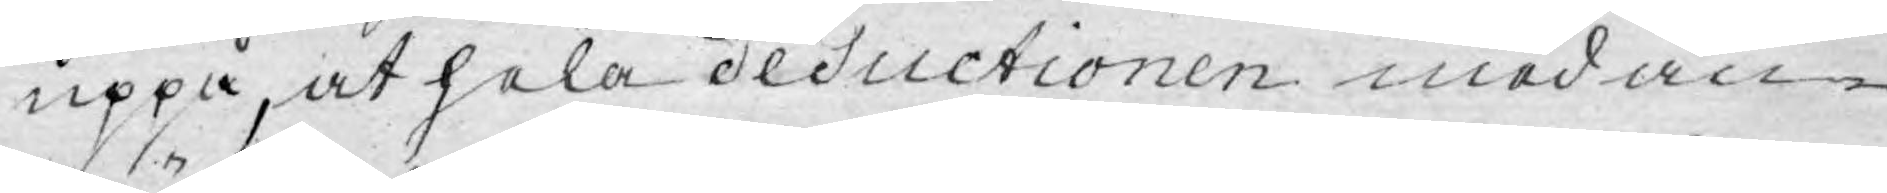uppå, at hela deductionen med an¬
